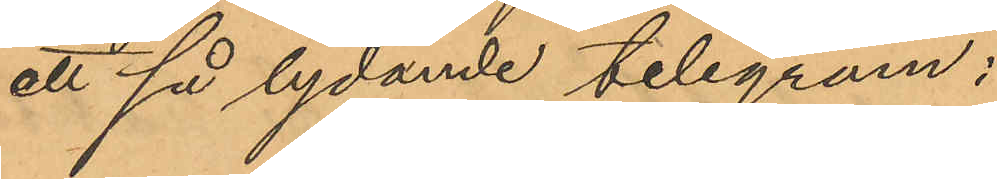ett så lydande telegram:
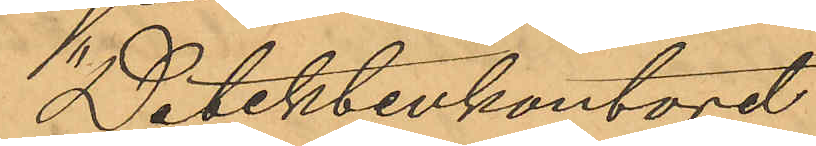"Detektivkontoret
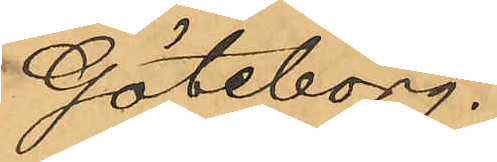Göteborg.
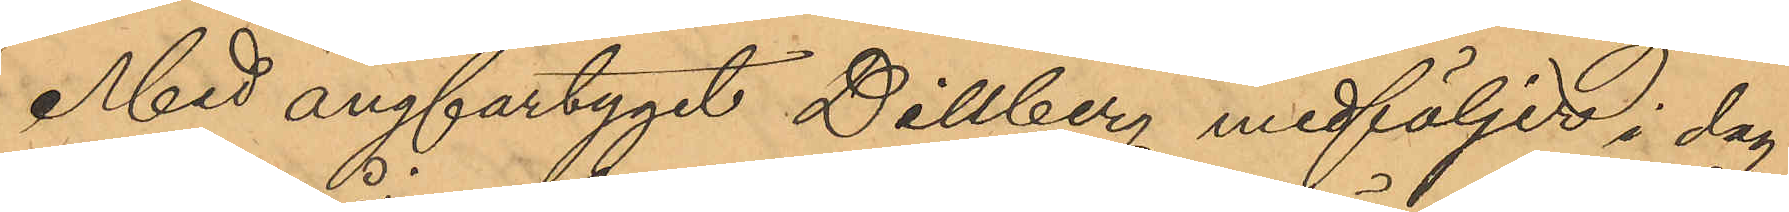Med ångfartyget Dillberg medföljer i dag
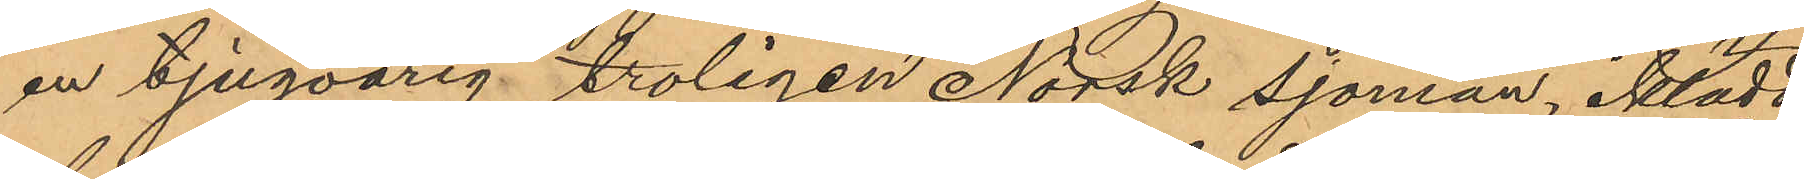en tjugoårig troligen Norsk sjöman, iklädd
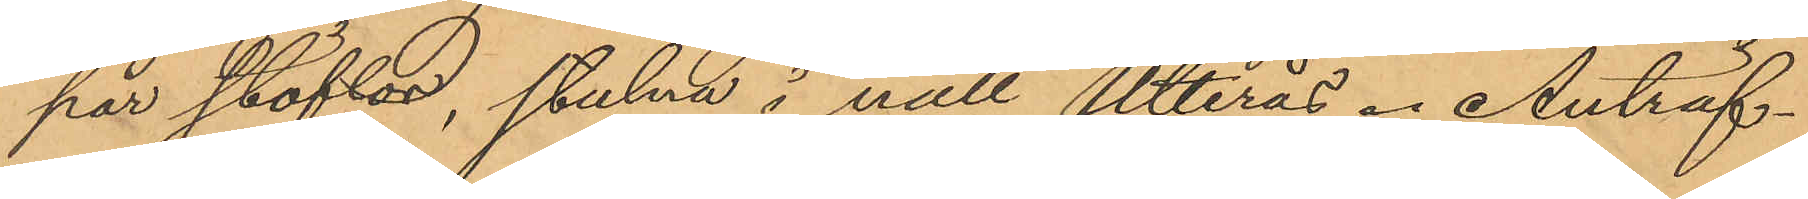par stöflar, stulna i natt Utterås. Anträf¬
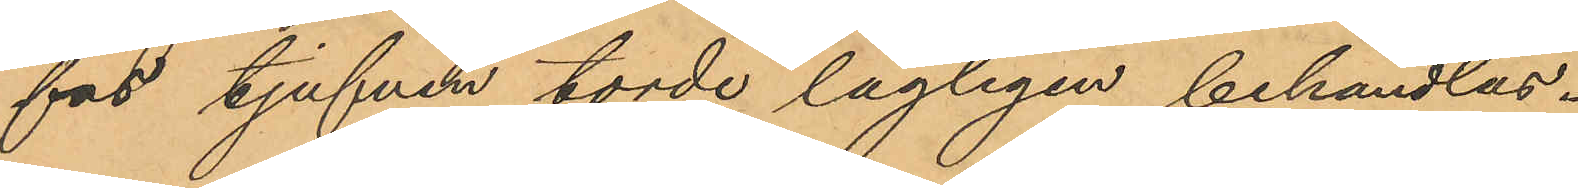fas tjufven torde lagligen behandlas.
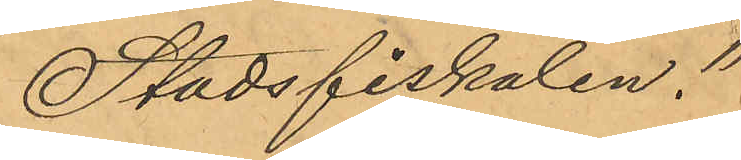Stadsfiskalen."
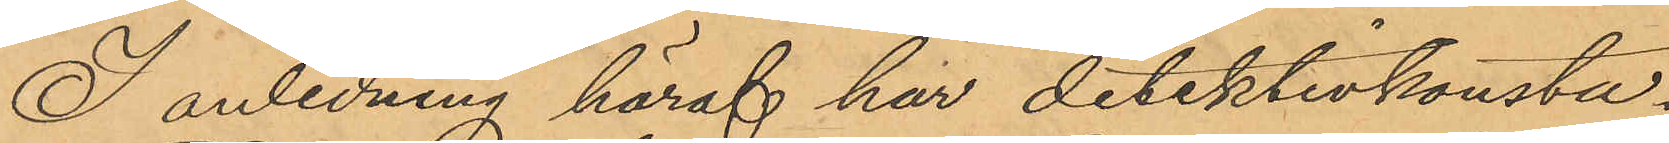I anledning häraf har detektivkonsta¬
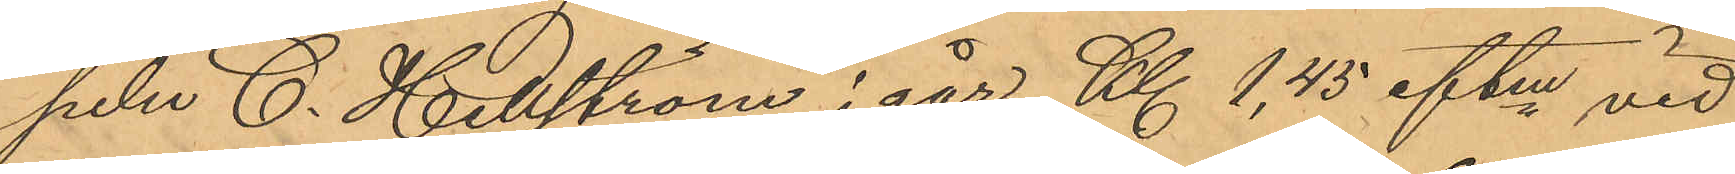peln C. Hellström i går Kl 1,45 eftm vid
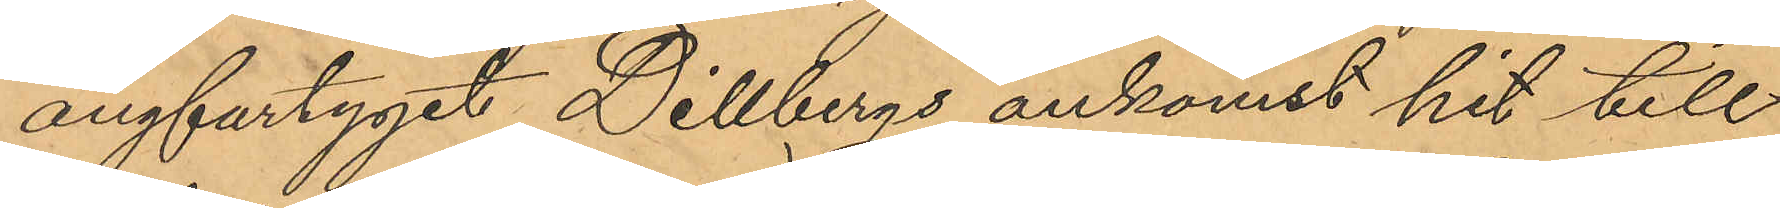ångfartyget Dillbergs ankomst hit till
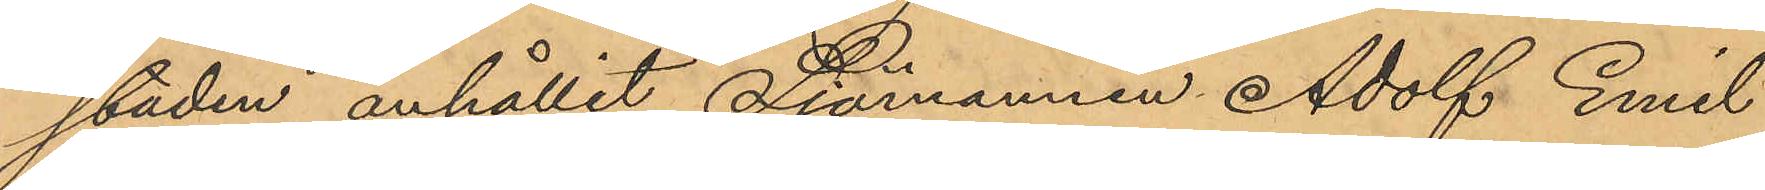staden anhållit Sjömannen Adolf Emil
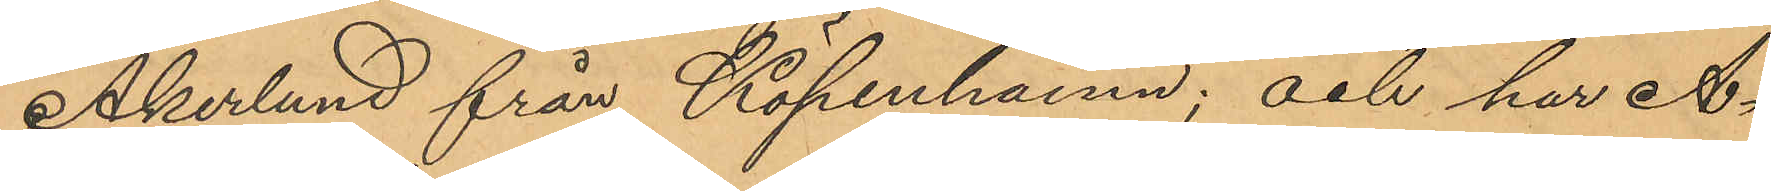Åkerlund från Köpenhamn; och har Å¬
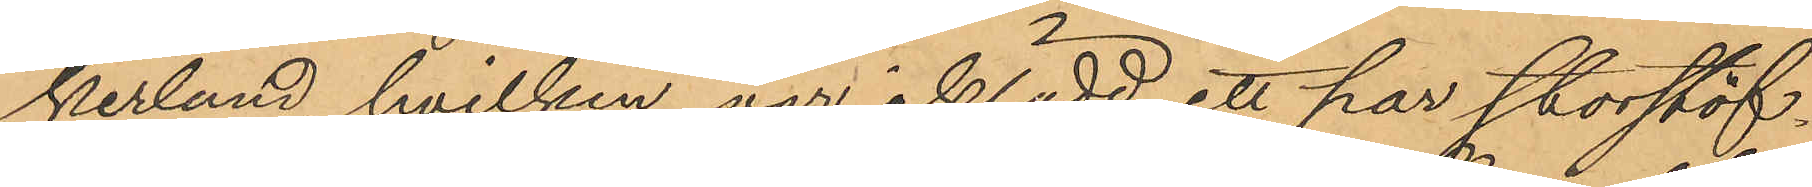kerlund, hvilken var iklädd ett par storstöf¬
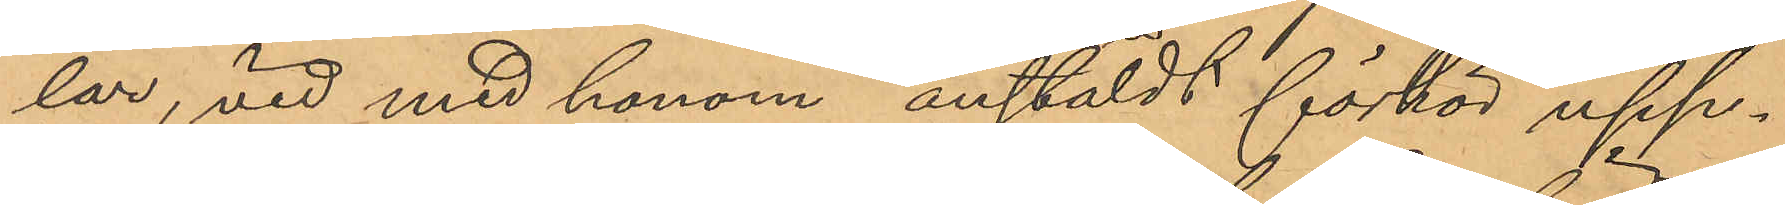lar, vid med honom anstäldt förhör upp¬
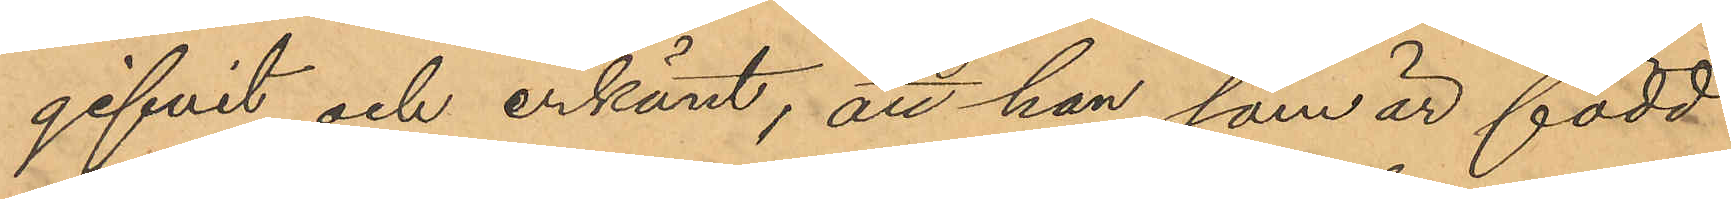gifvit och erkänt, att han som är född
